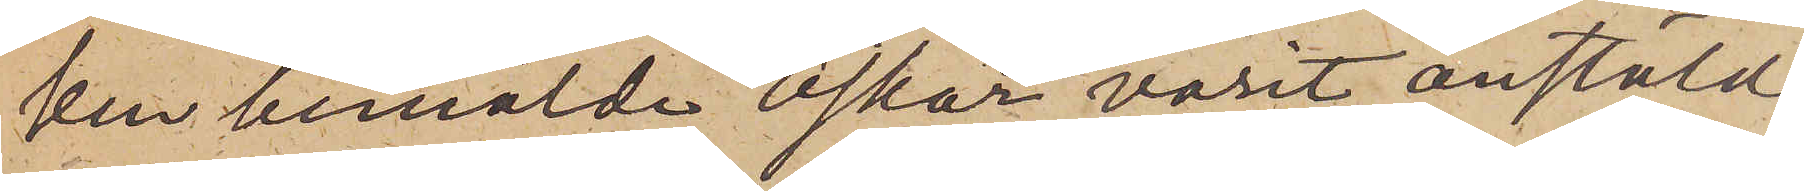ken bemälde Oskar varit anstäld
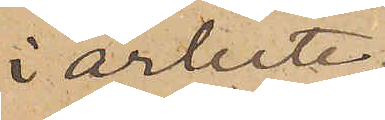i arbete.
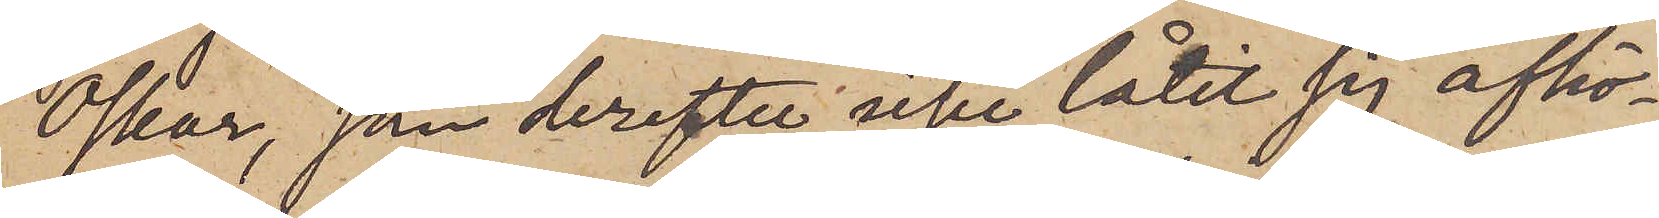Oskar, som derefter icke låtit sig afhö¬
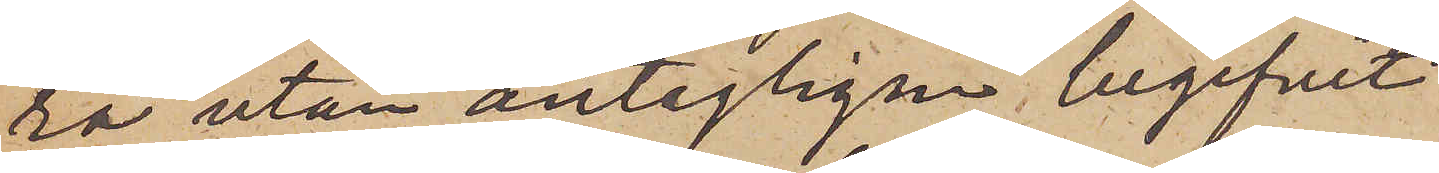ra utan antagligen begifvit
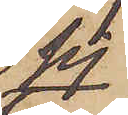sig
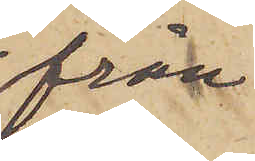från
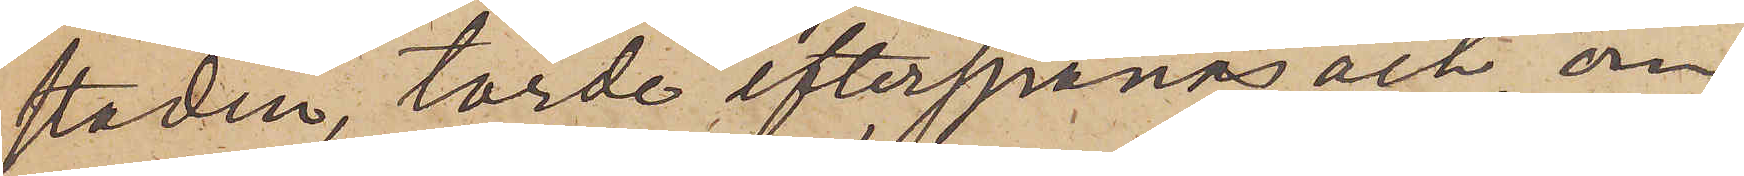staden, torde efterspanas och om
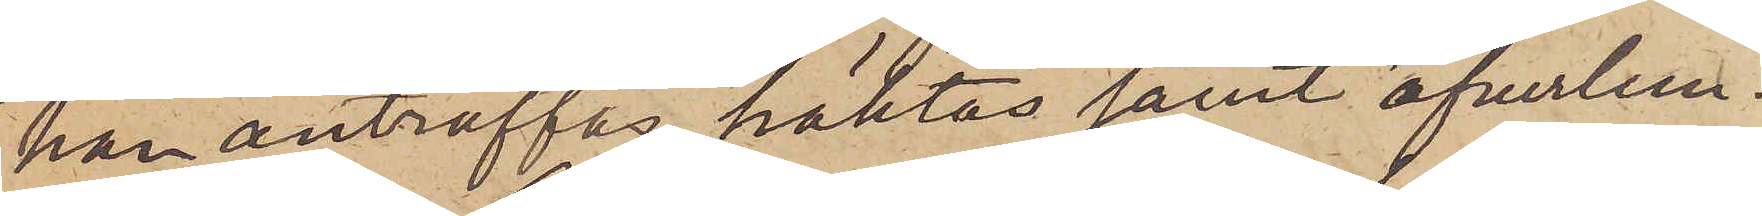han anträffas, häktas samt öfverlem¬
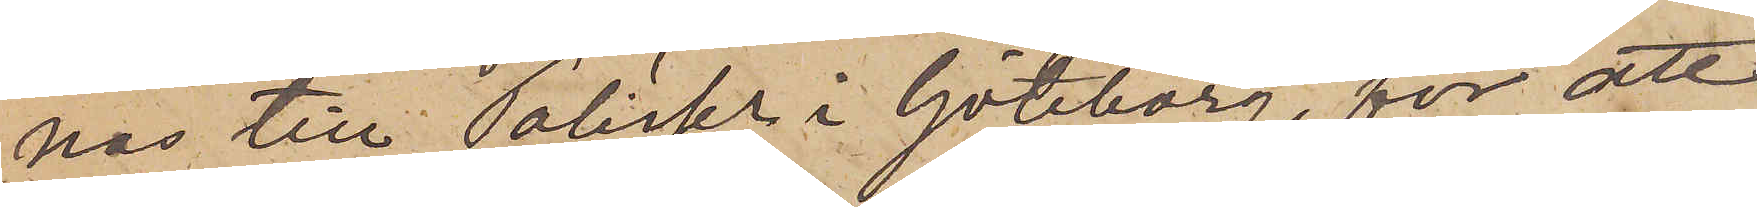nas till Poliskn i Göteborg, för att
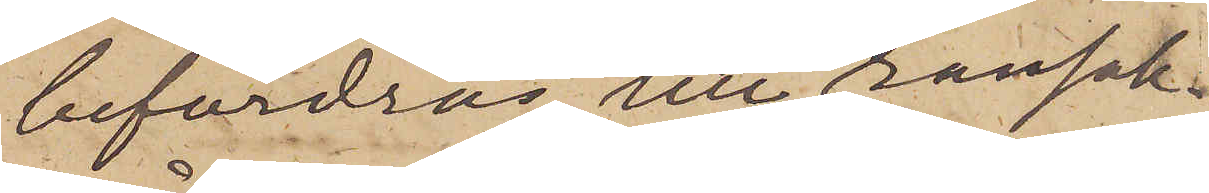befordras till ransak¬
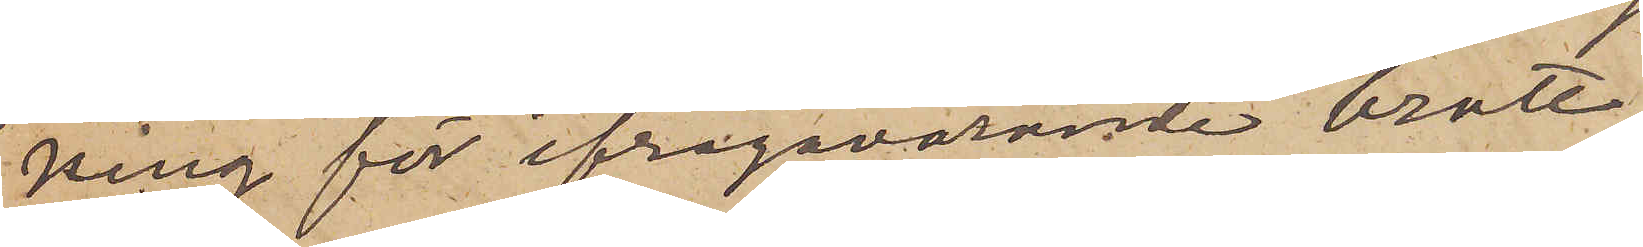ning för ifrågavarande brott.
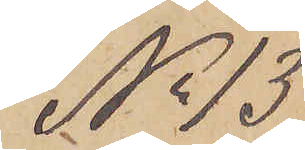No 13
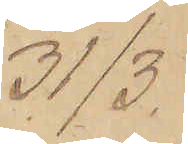31/3.
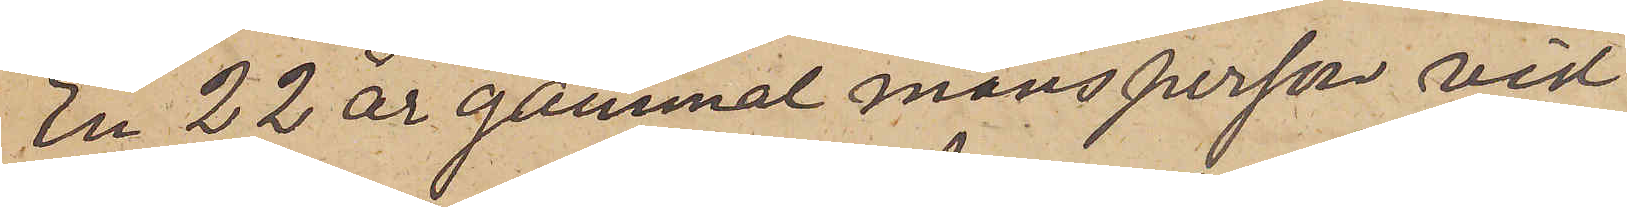En 22 år gammal mansperson vid
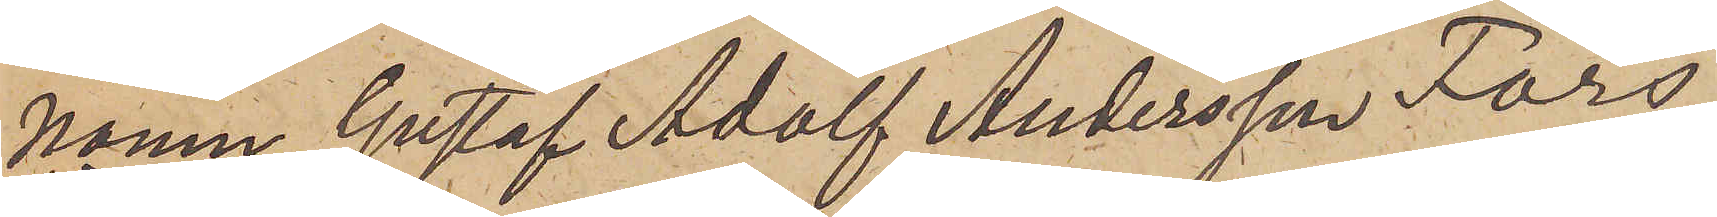namn Gustaf Adolf Andersson Fors,
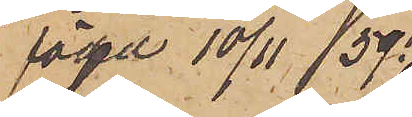född 10/11 59
